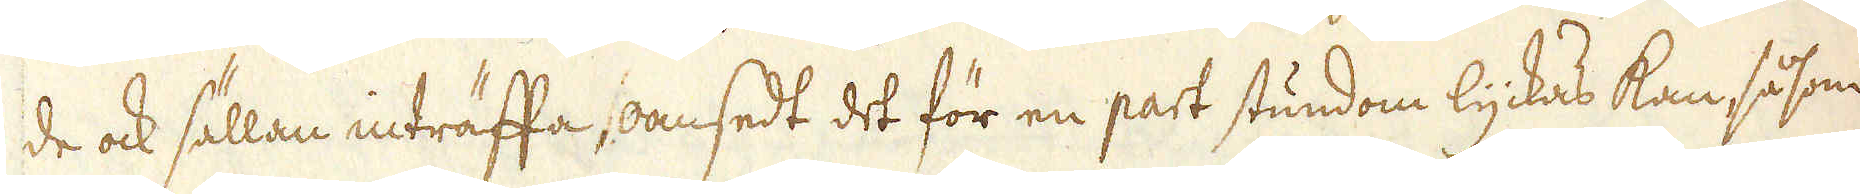de ock sällan inträffa, oansedt det för en part stundom lyckas kan, såsom
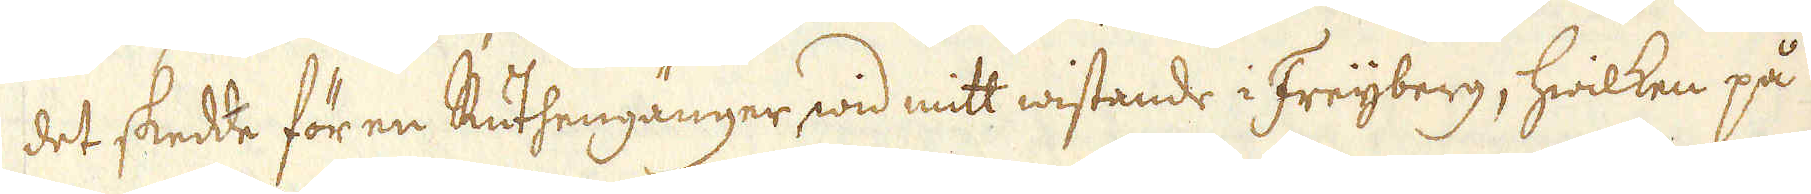det skedde för en Ruthengänger wid mitt wistande i Freijberg, hwilken på
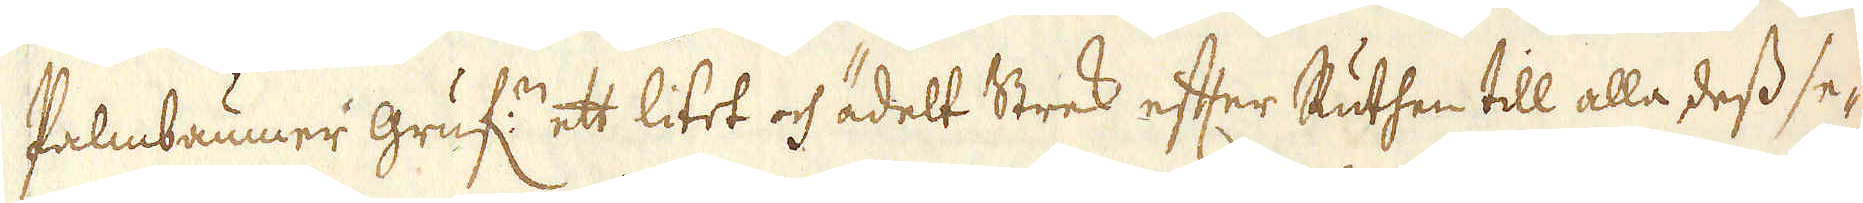Palmbaumer gruf:n ett litet och ädelt Strek efter Ruthen till alla dess se-
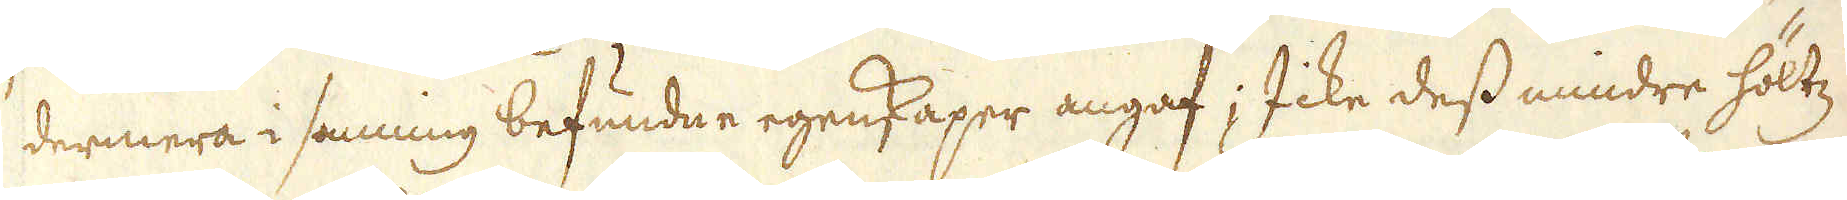dermera i sanning befundne egenskaper angaf; Icke dess mindre höltz
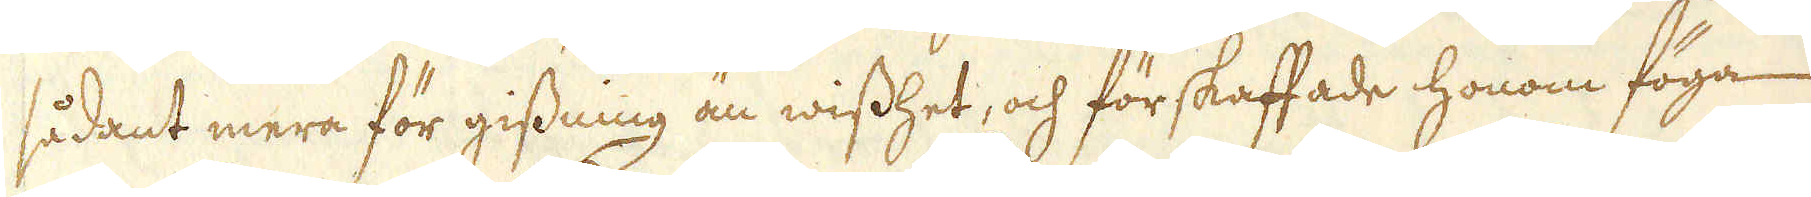sådant mera för gissning än wisshet, och förskaffade honom föga
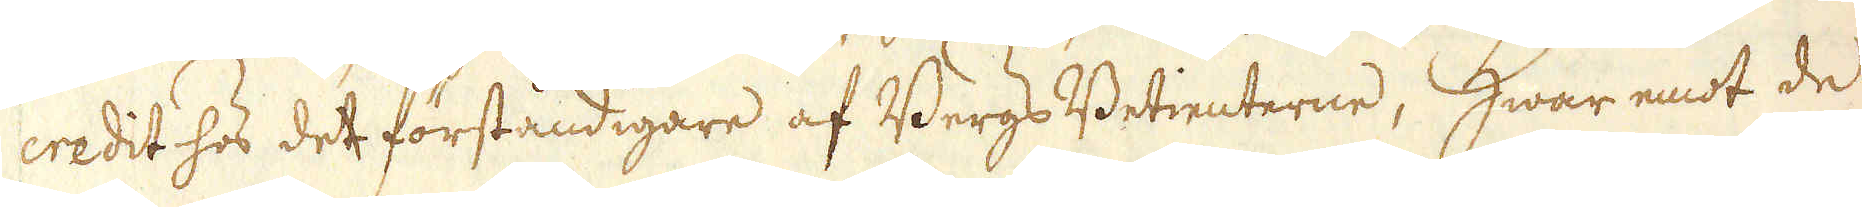credit hos det förståndigare af Bergs Betienterne, Hwar emot de
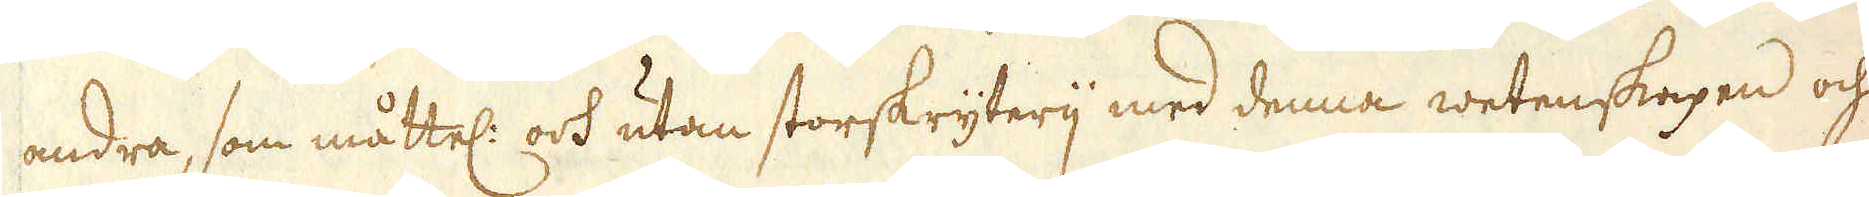andra, som måttel: och utan storskryterij med denna wetenskapen och
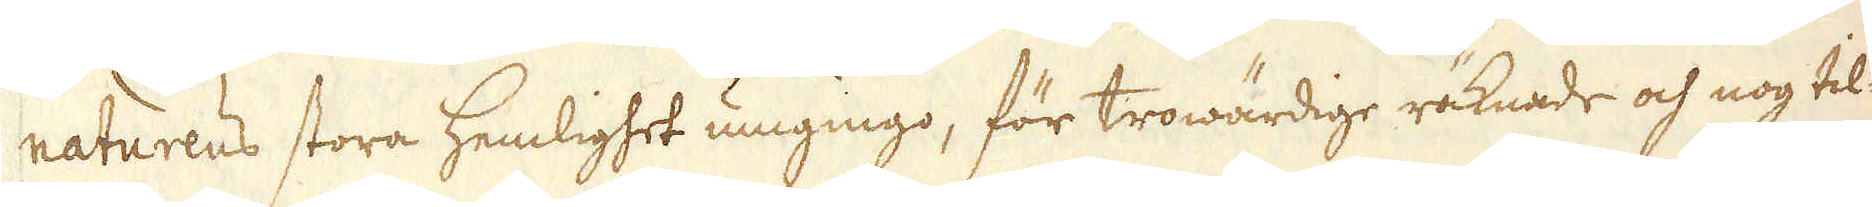naturens stora hemlighet umgingo, för trowärdige räknade och nog til-
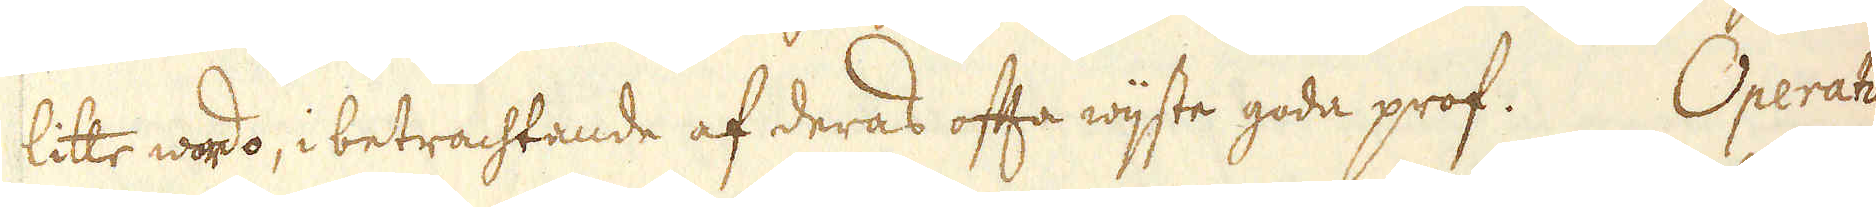litte wordo, i betrachtande af deras ofta wijste goda prof. Operatio-
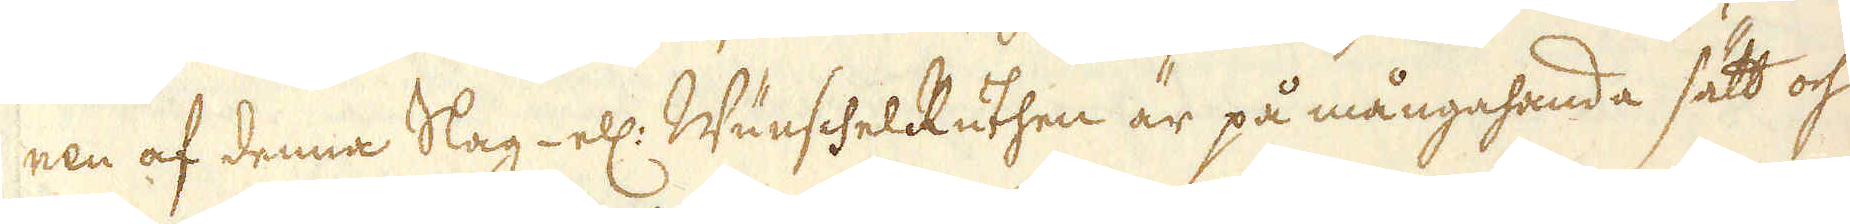nen af denna Slag- ell: WünschelRuthen är på mångahanda sätt och
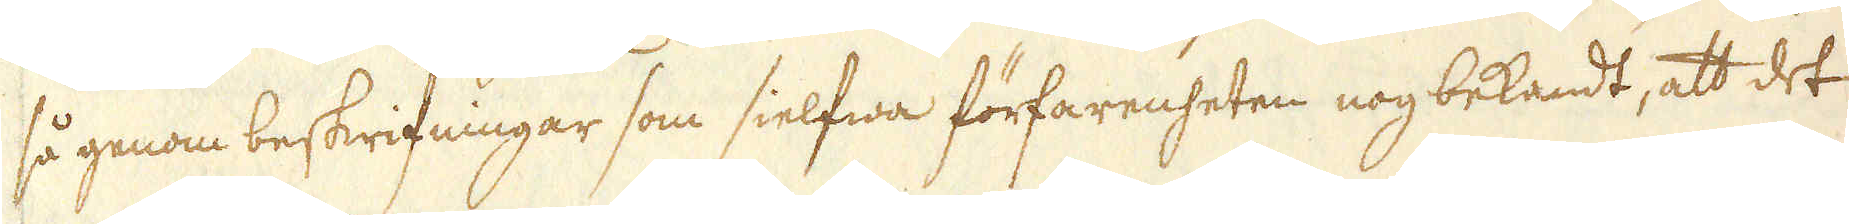så genom beskrifningar som sielfwa förfarenheten nog bekandt, att det
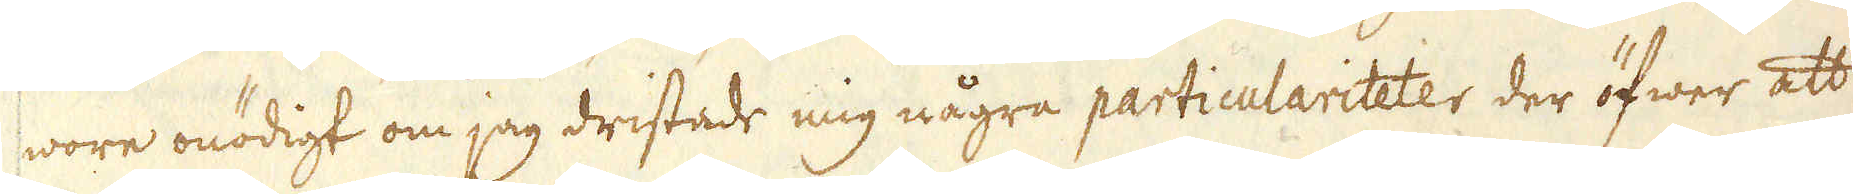wore onödigt om jag dristade mig några particulariteter der öfwer att
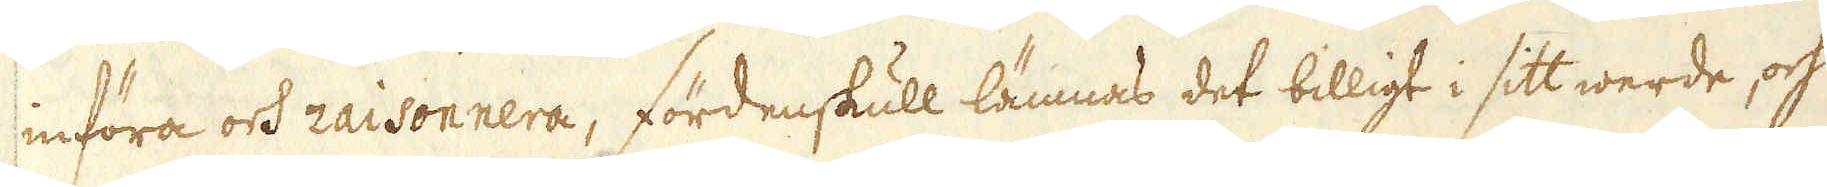införa och raisonnera, fördenskull lämnas det billigt i sitt werde, och
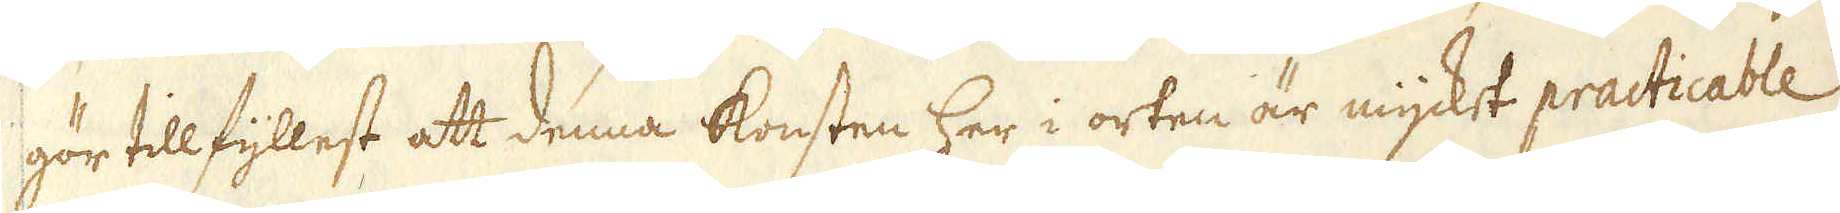gör tillfyllest att denna konsten her i orten är mycket practicable
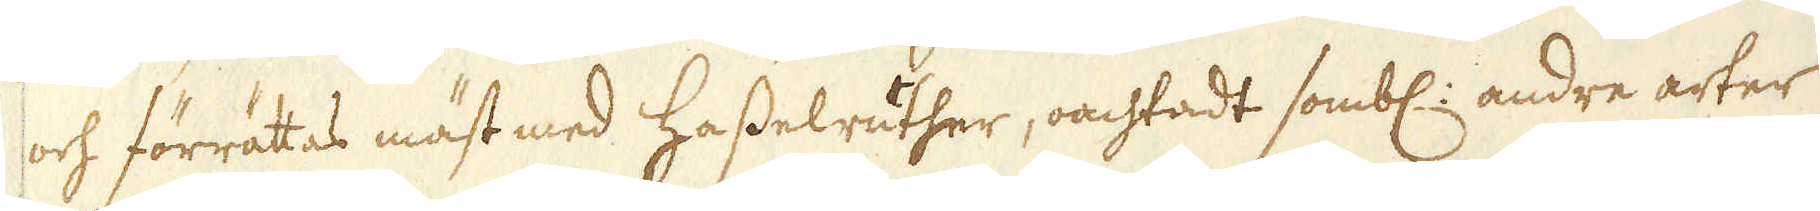och förrättas mäst med Hasselruther, oachtadt sombl: andre arter
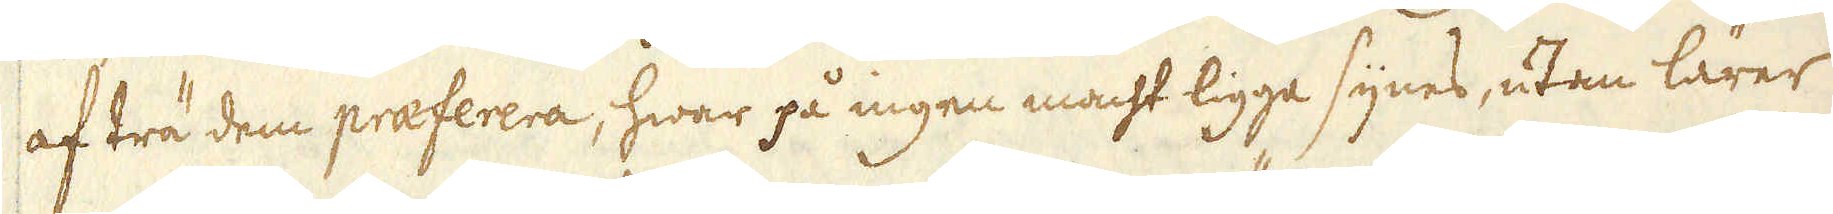af trä dem praeferera, hwar på ingen macht ligga synes, utan lärer
